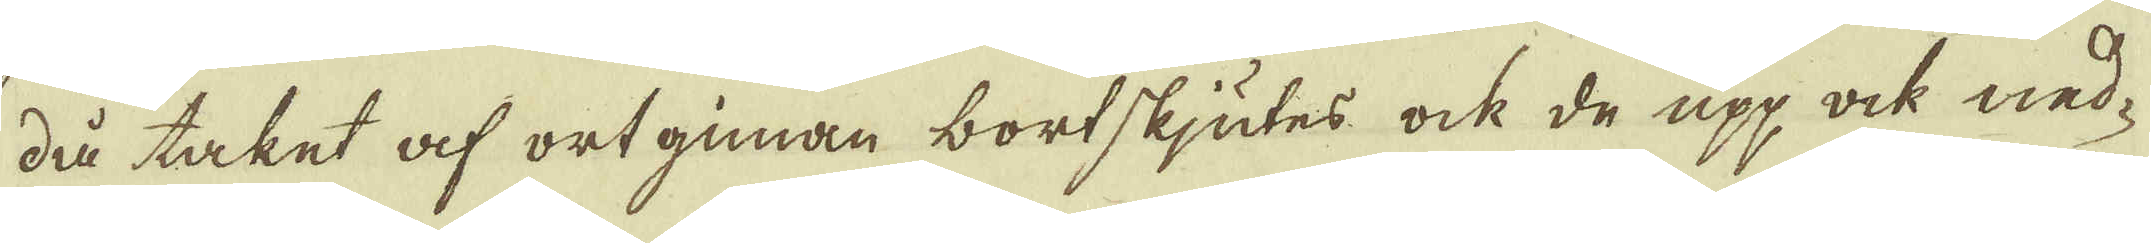då taket af ortginan bortskjutes ock de upp ock ned-
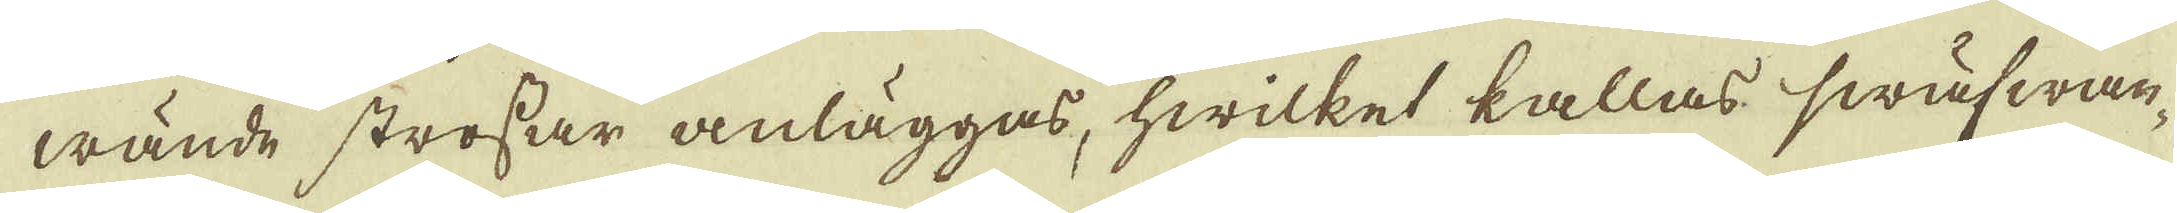wände strossar anläggas, hwilket kallas swäfwan-
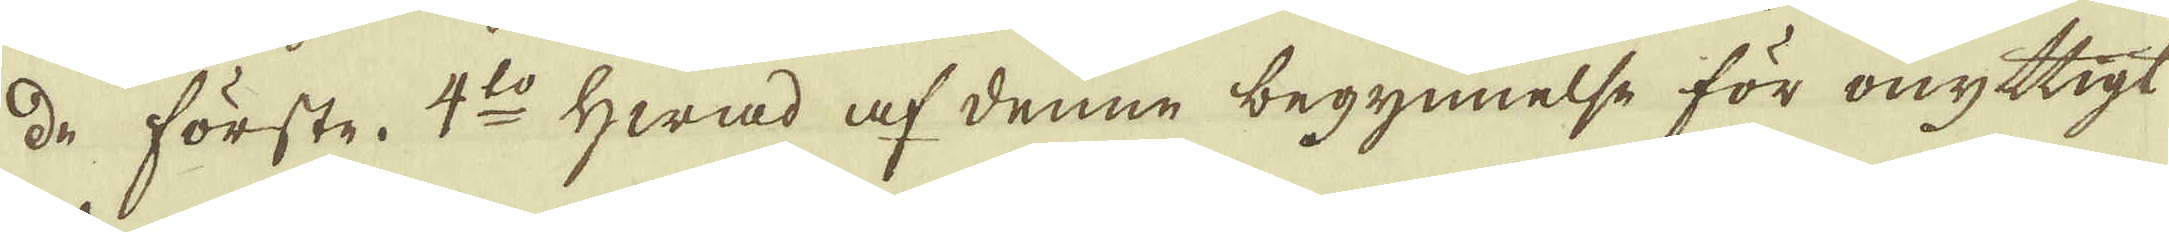de förste. 4:to Hwad af denne begynnelse för onyttigt
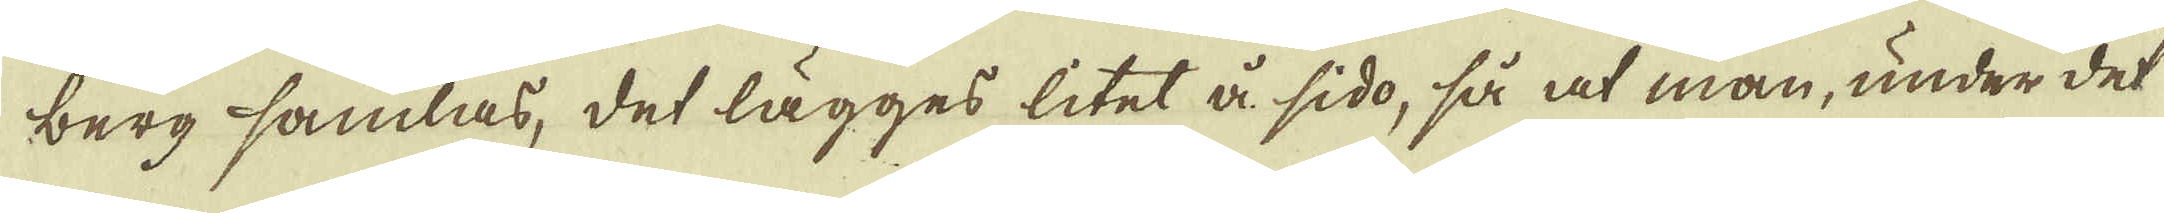berg samlas, det lägges litet å sido, så at man, under det
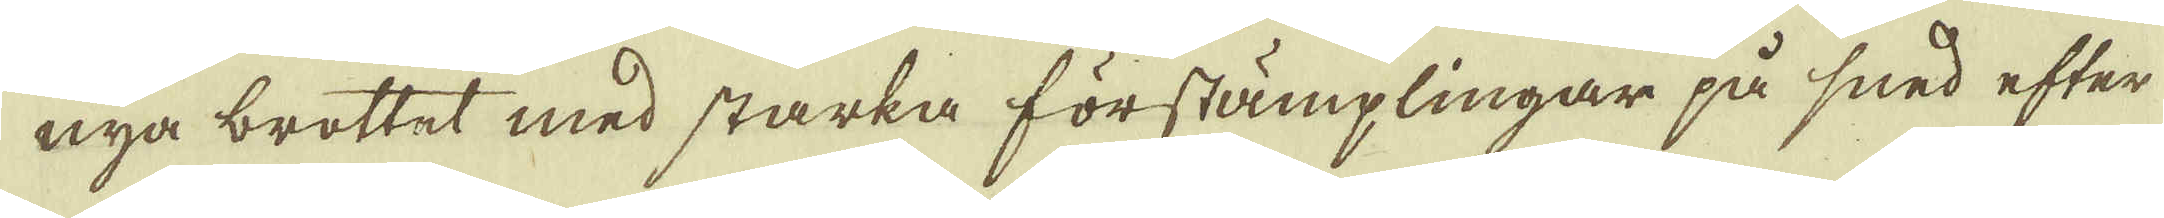nya brottet med starka förstämplingar på sned efter
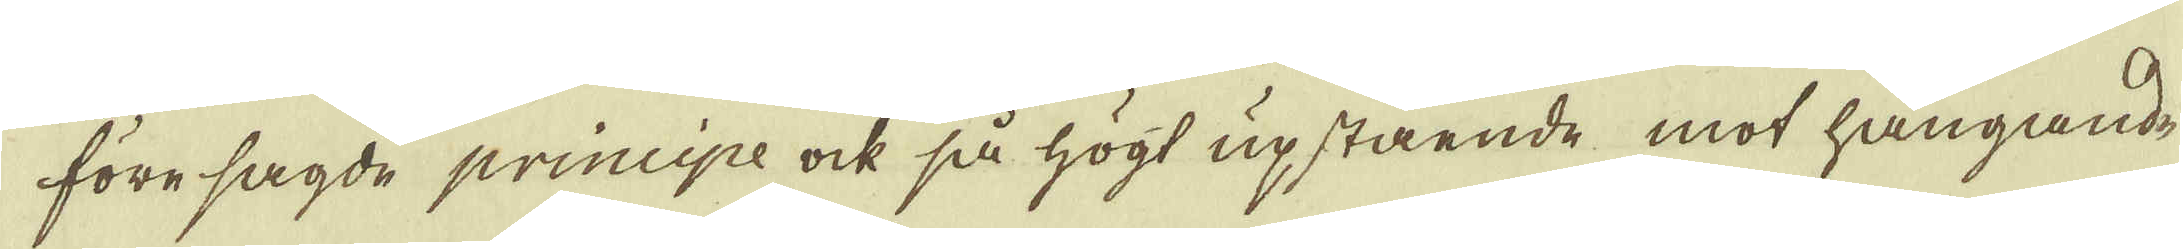före sagde principe ock så högt upstående mot hängande
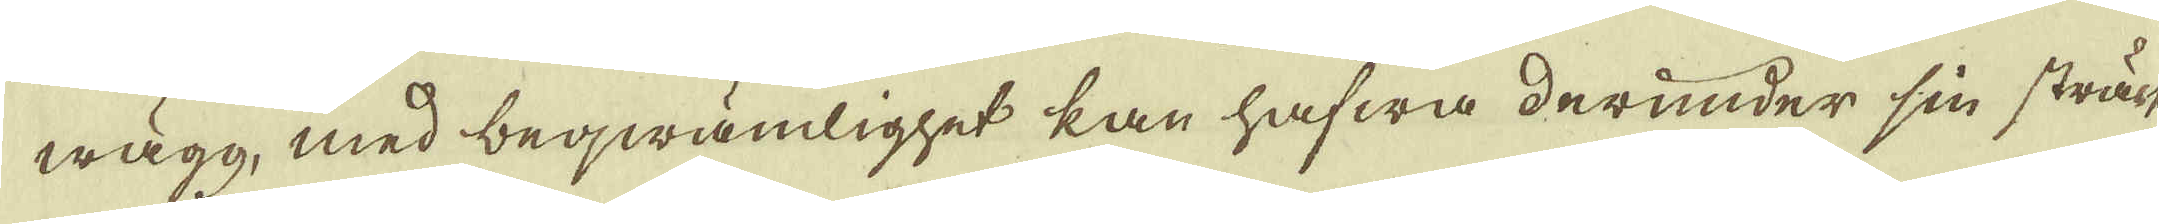wägg, med beqwämlighet kan hafwa derunder sin sträck-
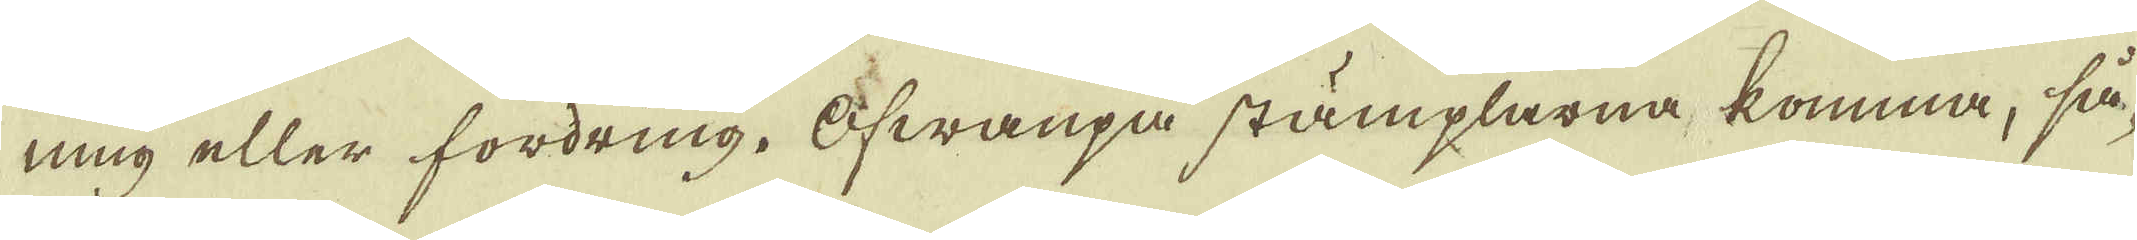ning eller fordring. Ofwanpa stämplarna, komma, så-
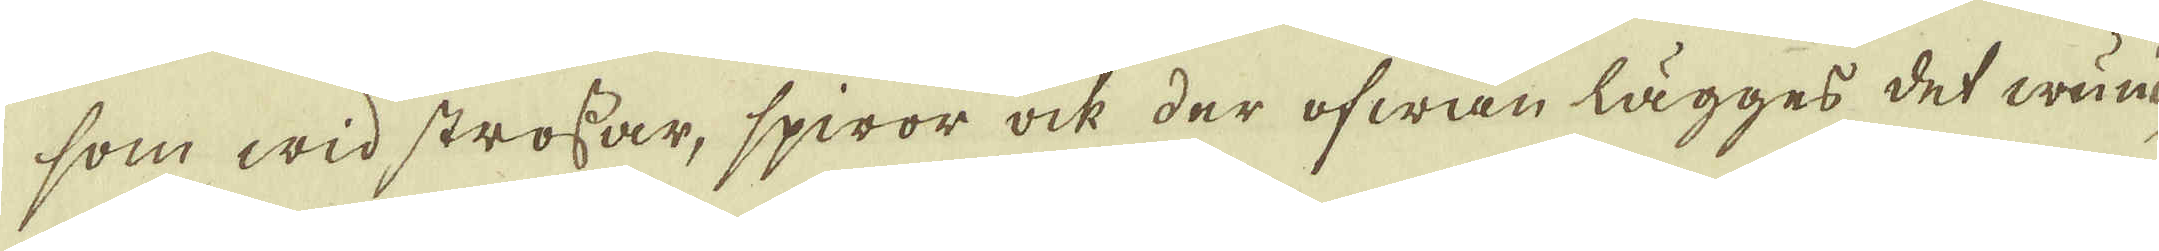som wid strossar, spiror ock der ofwan lägges det wänd-
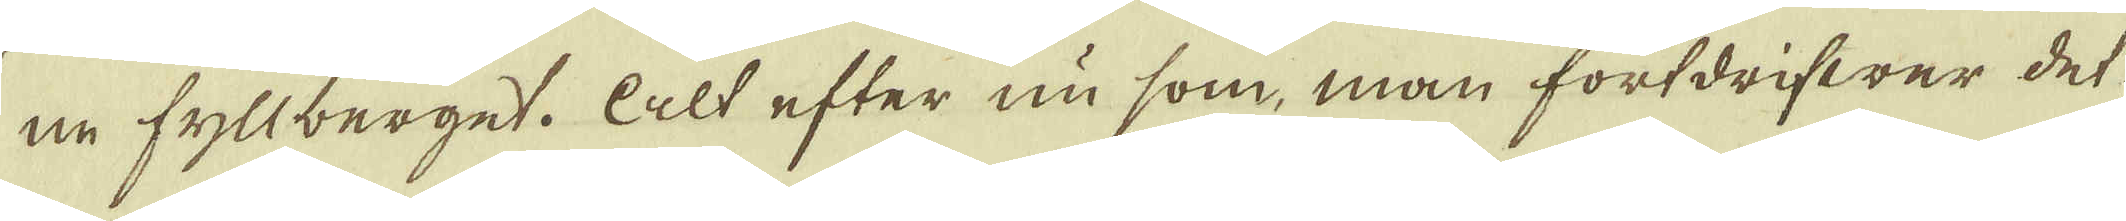ne fyllberget. Alt efter nu som, man fortdrifwer det-
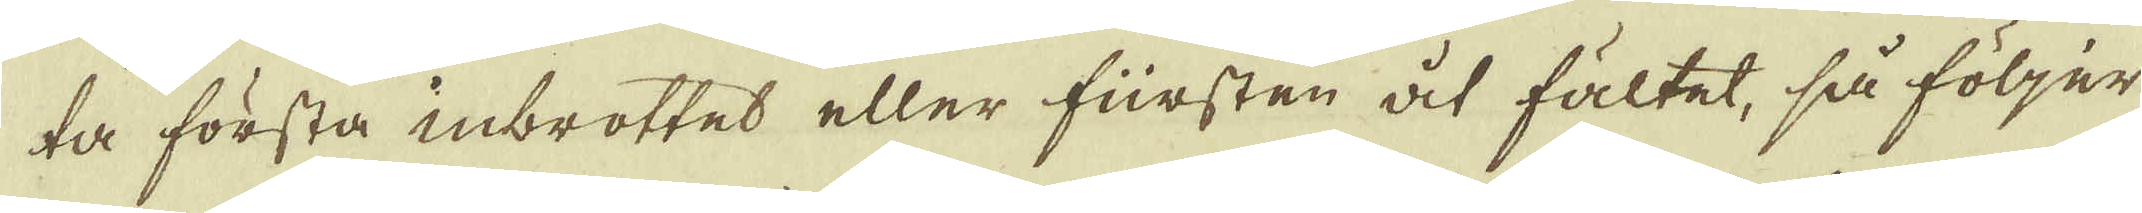ta första inbrottet eller fürsten åt fältet, så följer
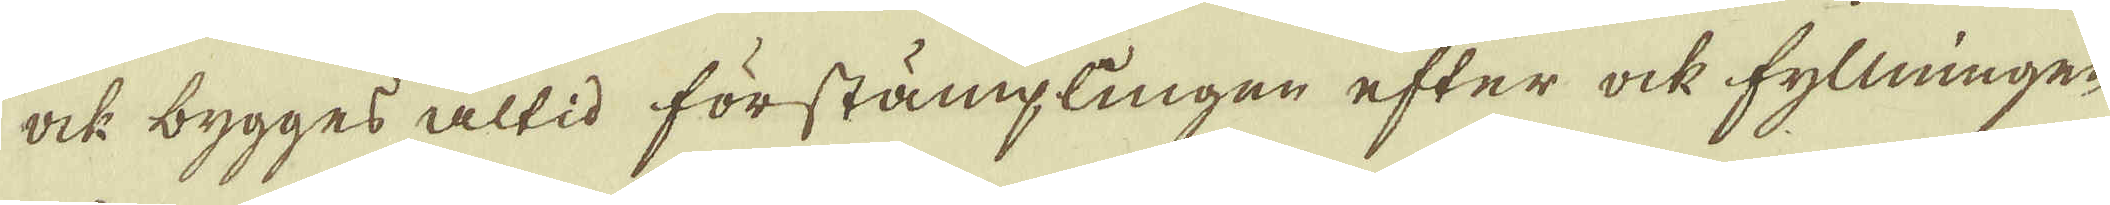ock bygges altid förstämplingen efter ock fyllningen
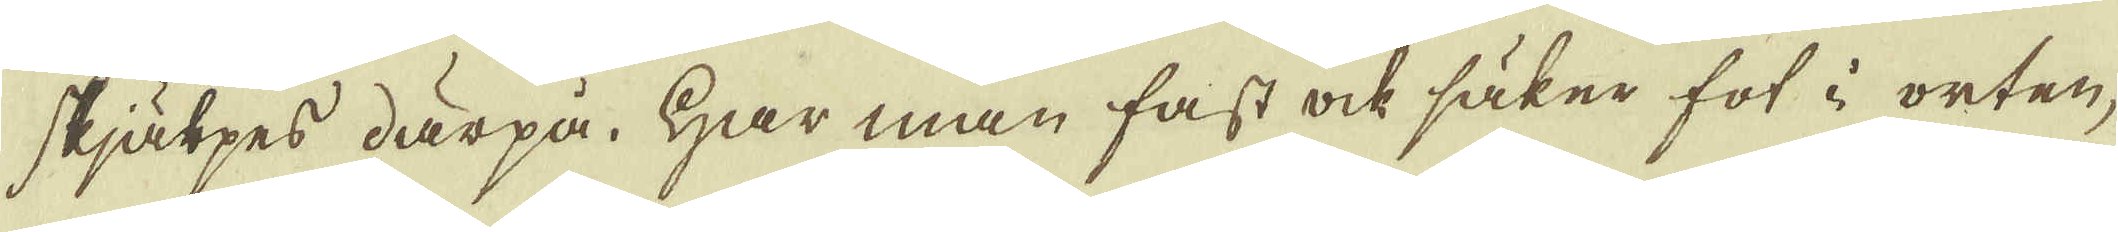skjälpes därpå. Har man fast ock säker fot i orten;
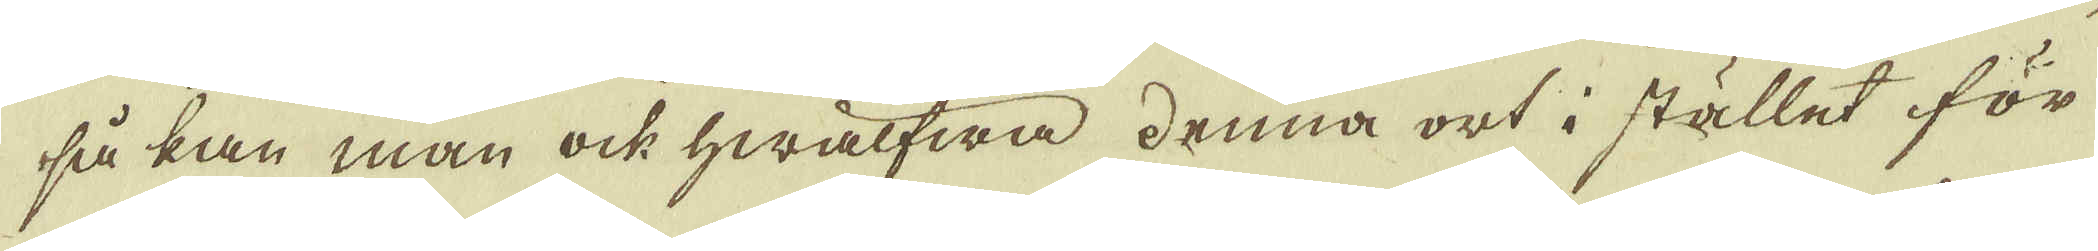så kan man ock hwälfwa denna ort i stället för
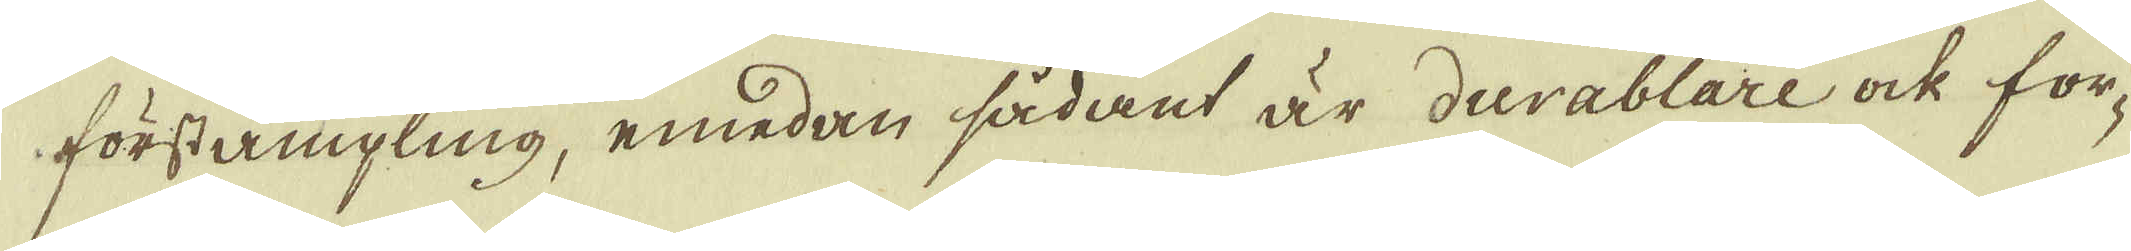förstämpling, emedan sådant är durablare ock for-
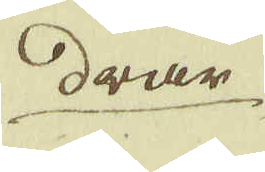drar
